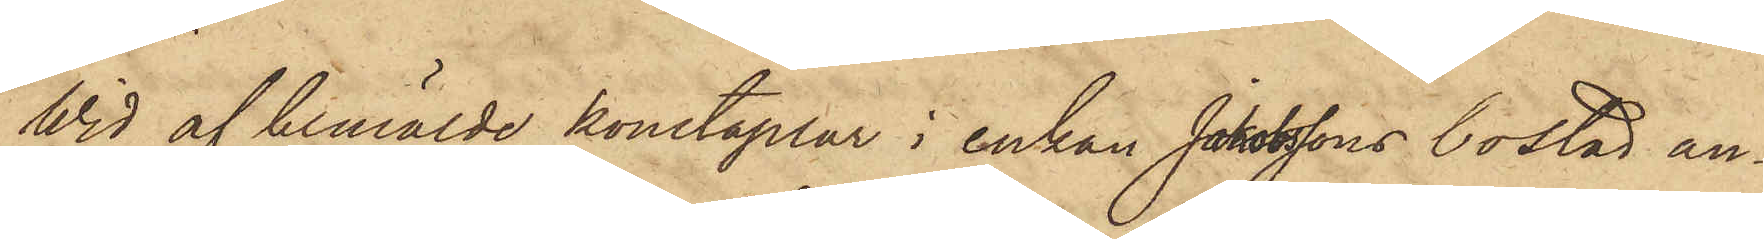Wid af bemälde konstaplar i enkan Jakobssons bostad an¬
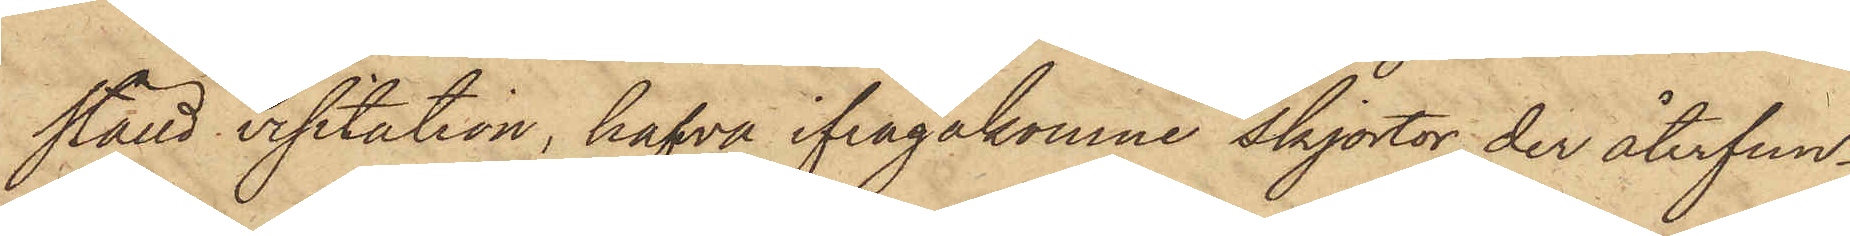stäld visitation, hafva ifrågakomne skjortor der återfun¬
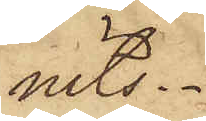nits.
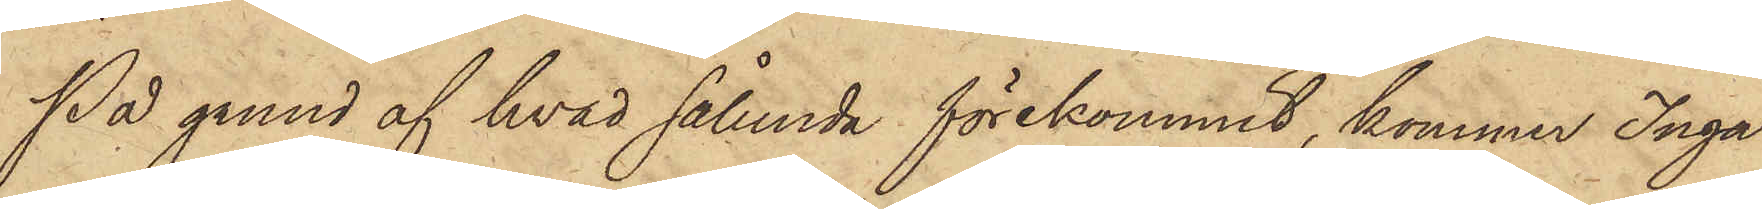På grund af hvad sålunda förekommit, kommer Inga
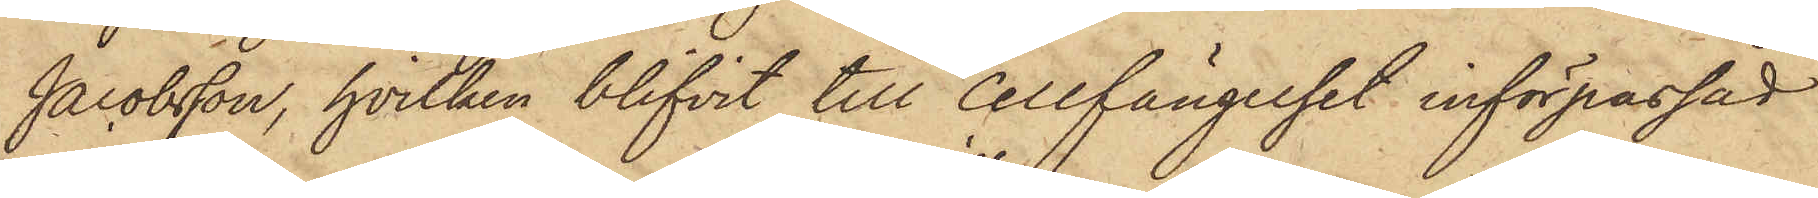Jacobsson, hvilken blifvit till Cellfängelset införpassad
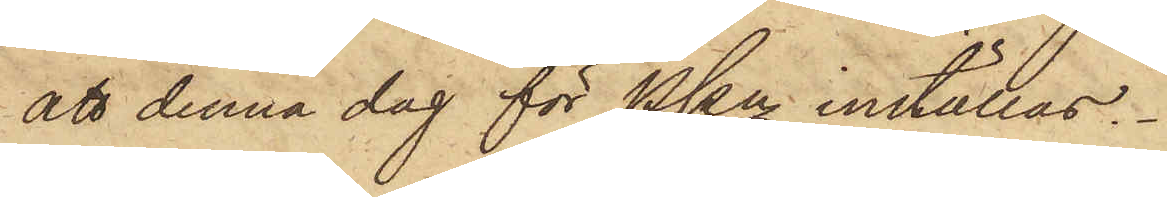att denna dag för PKn inställas.
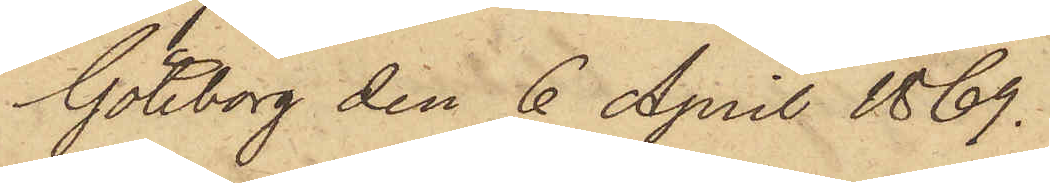Göteborg den 6 April 1869.
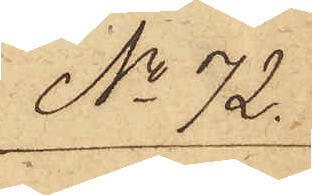No 72.
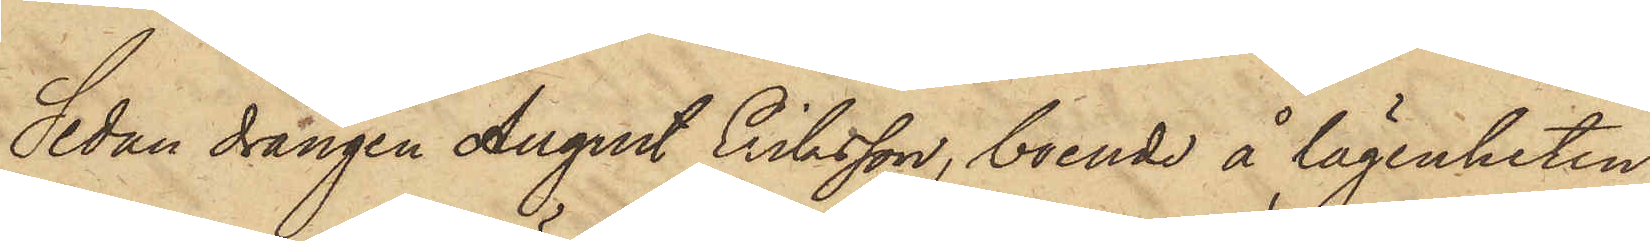Sedan drängen August Eriksson, boende å lägenheten
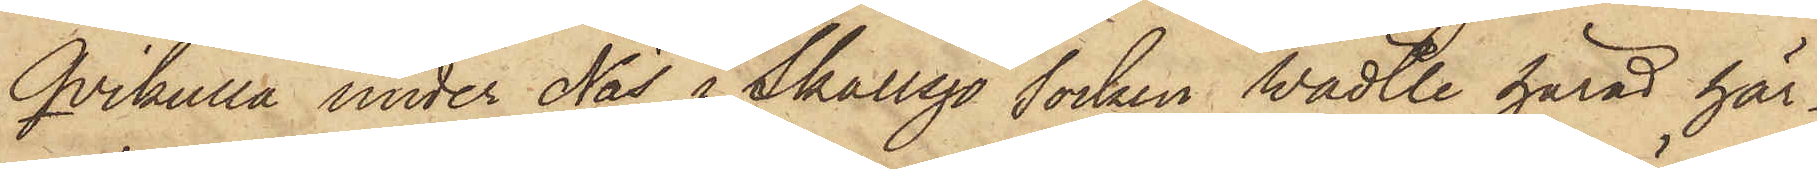Qvikulla under Näs i Skallsjö socken Wädtle härad här¬
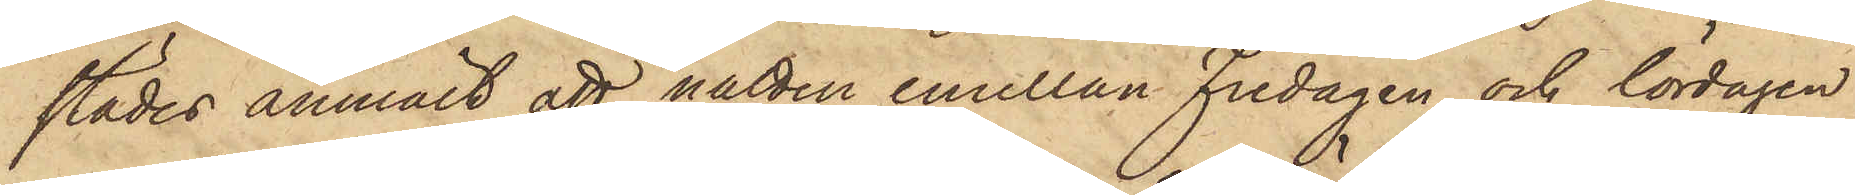städes anmält, att natten emellan Fredagen och lördagen
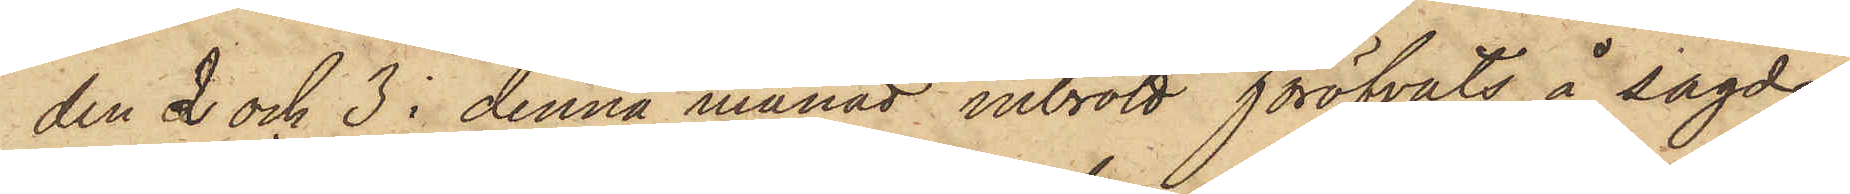den 2 och 3 i denna månad inbrott föröfvats å sagde
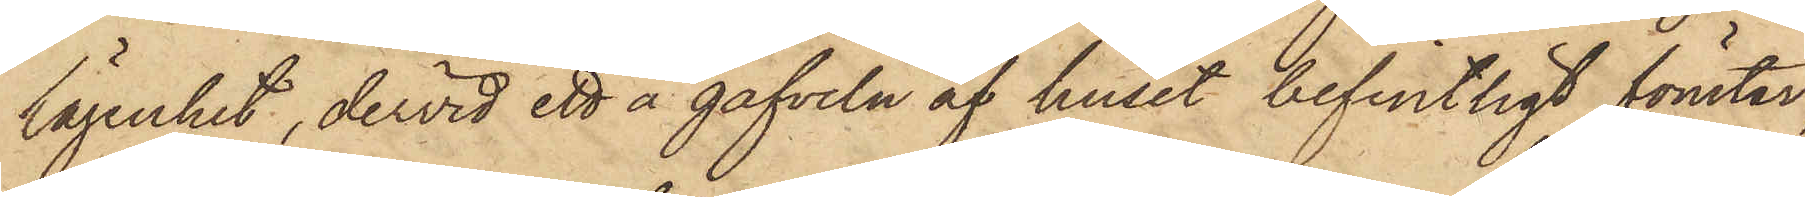lägenhet, dervid ett å gafveln af huset befintligt fönster,
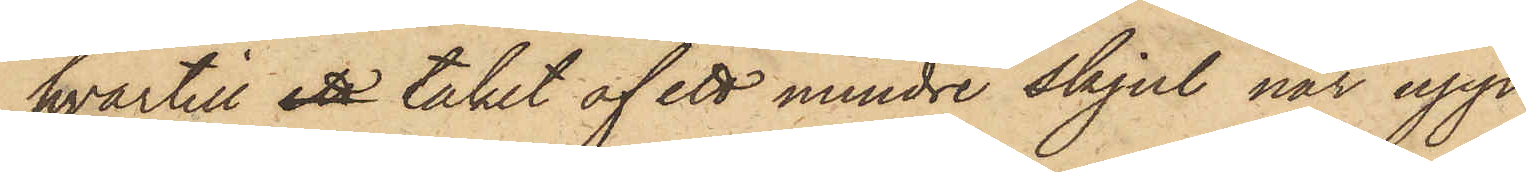hvartill ett taket af ett mindre skjul når upp,
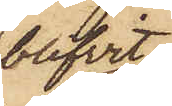blifvit
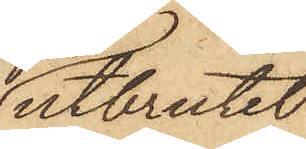utbrutet
